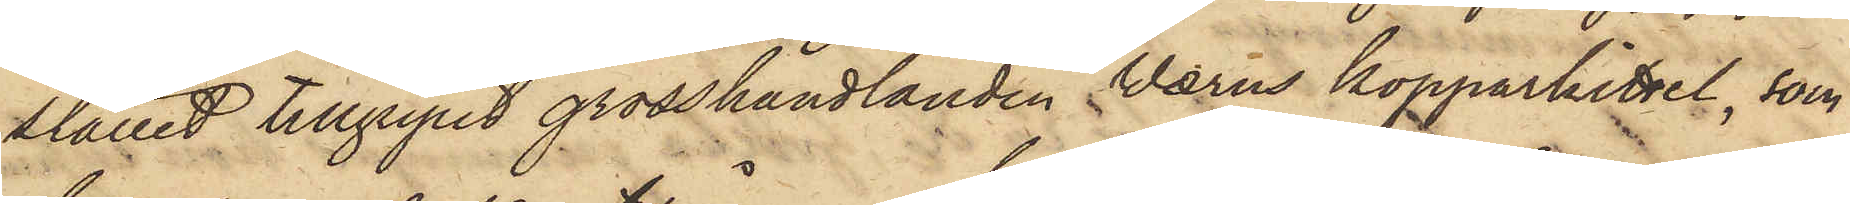stället tillgripit grosshandlanden Wærns kopparkittel, som
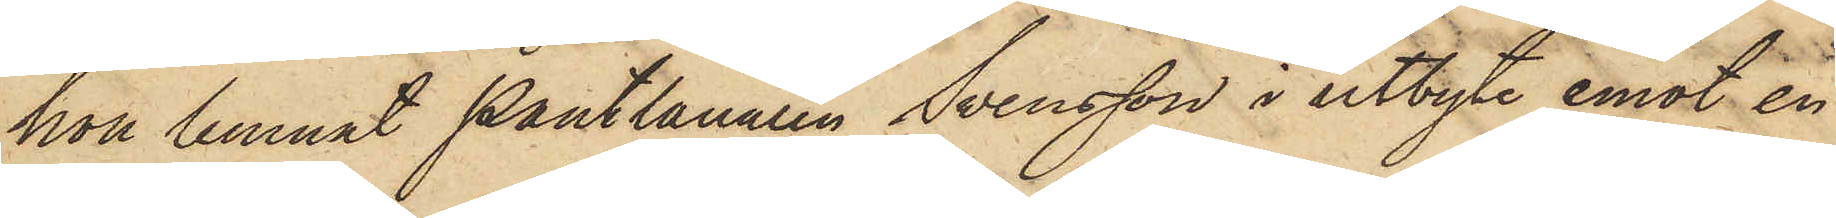hon lemnat Pantlånaren Svensson i utbyte emot en
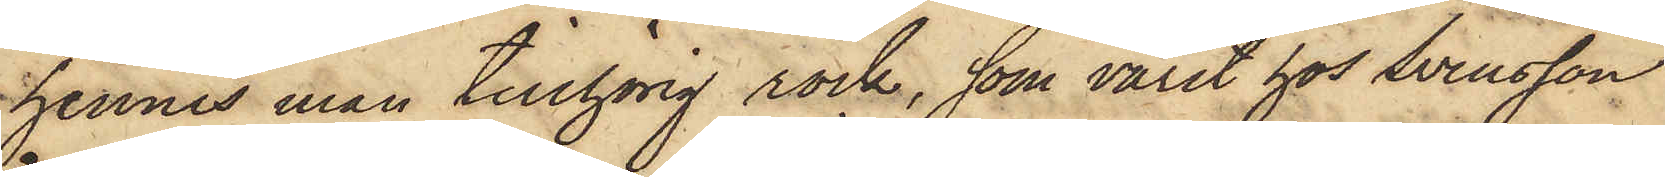hennes man tillhörig rock, som varit hos Svensson
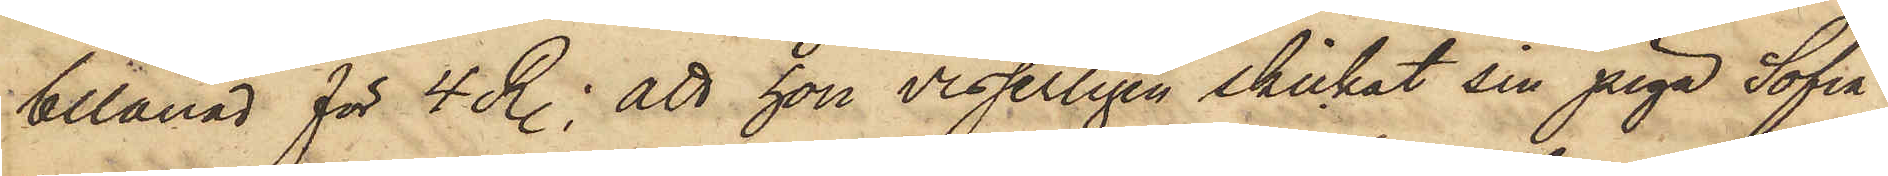belånad för 4 R.; att hon visserligen skickat sin piga Sofia
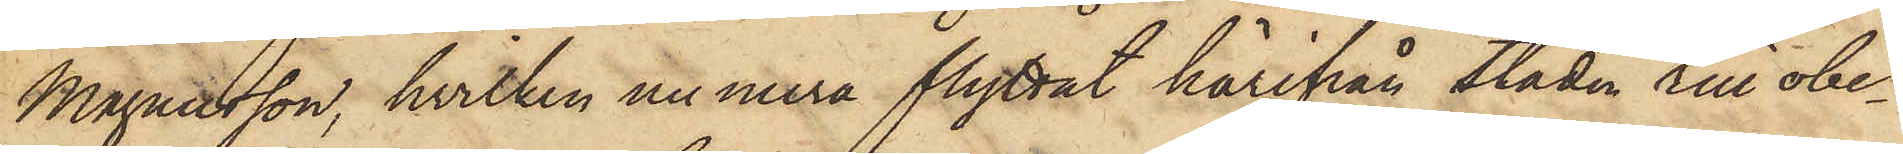Magnusson, hvilken nu mera flyttat härifrån Staden till obe¬
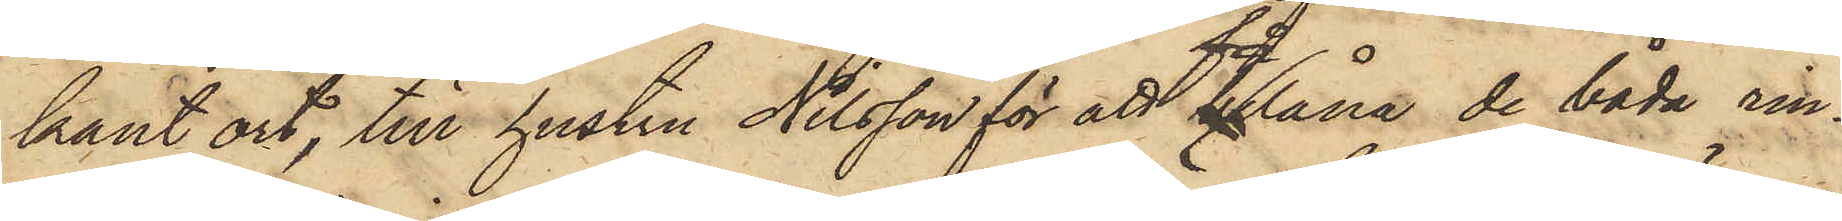kant ort, till hustru Nilsson för att  få låna de båda rin¬
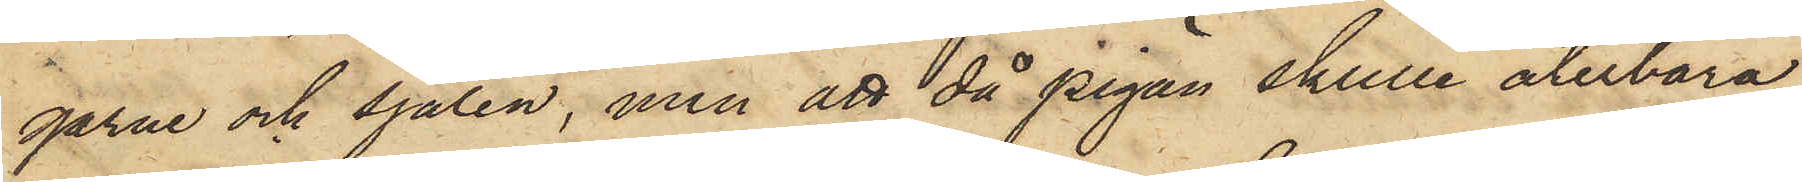garne och sjalen, men att då pigan skulle återbära
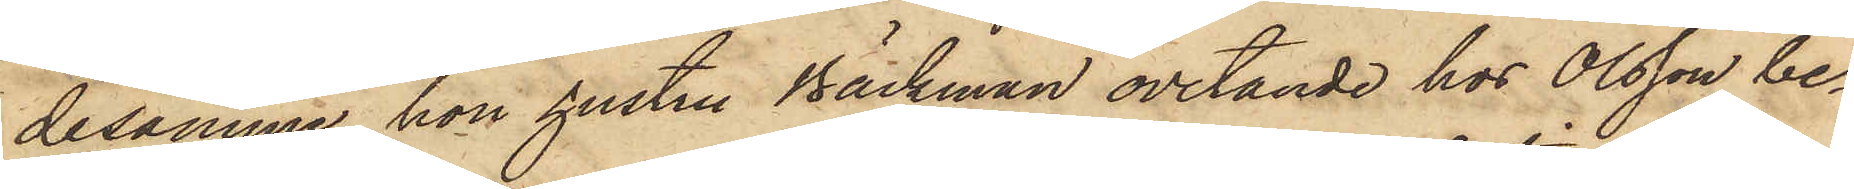desamme, hon hustru Bäckman ovetande hos Olsson be¬
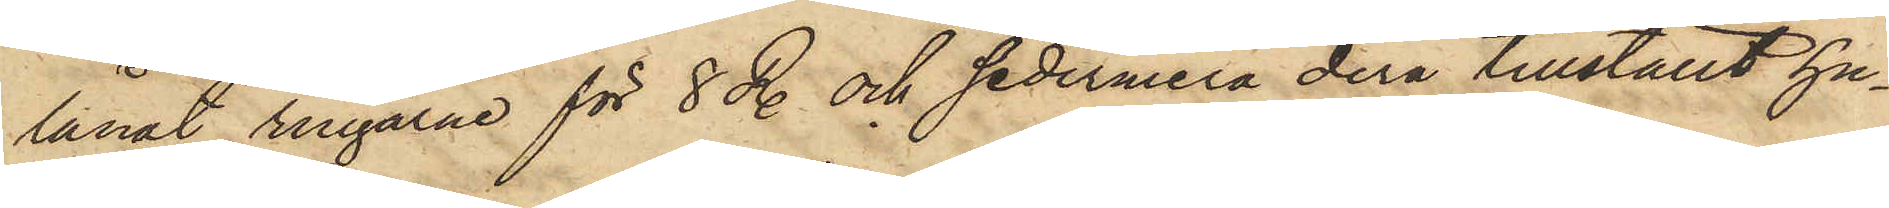lånat ringarne för 8 R. och sedermera derå tillställt hu¬
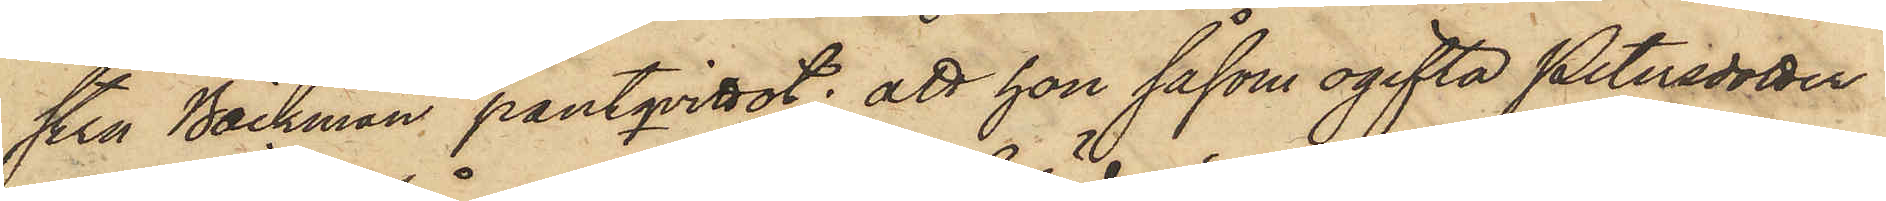stru Bäckman pantqvittot; att hon såsom ogifta Petersdotter
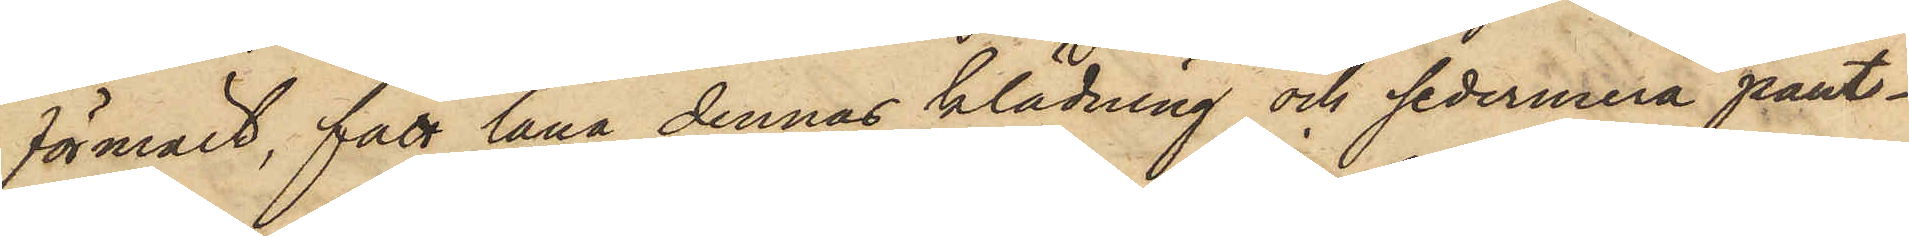förmält, fått låna dennas klädning och sedermera pant¬
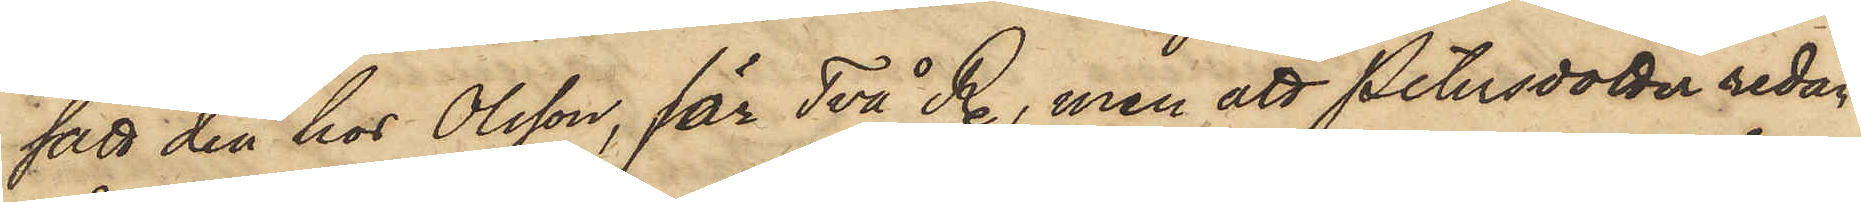satt den hos Olsson, får Två R., men att Petersdotter redan
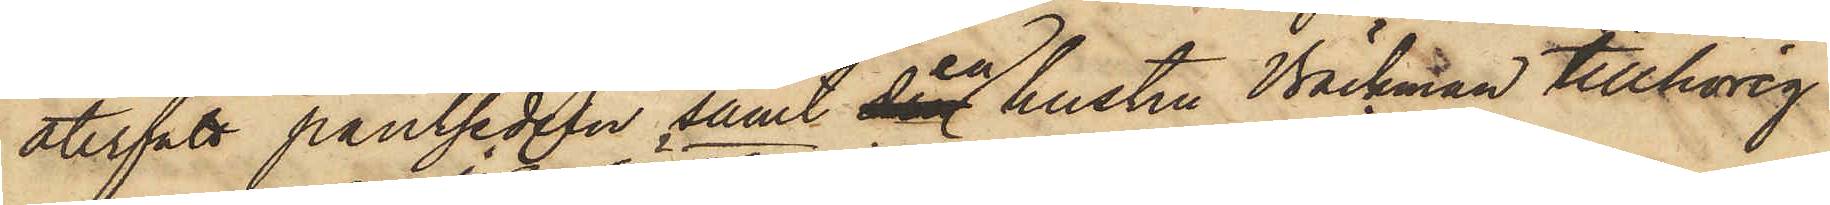återfått pantsedeln samt en hustru Bäckman tillhörig
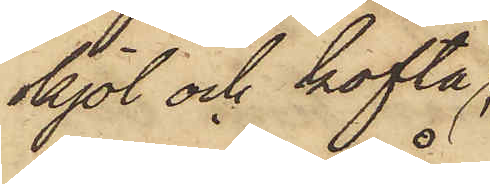kjol och kofta
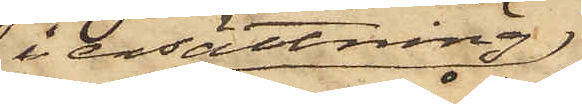i ersättning;
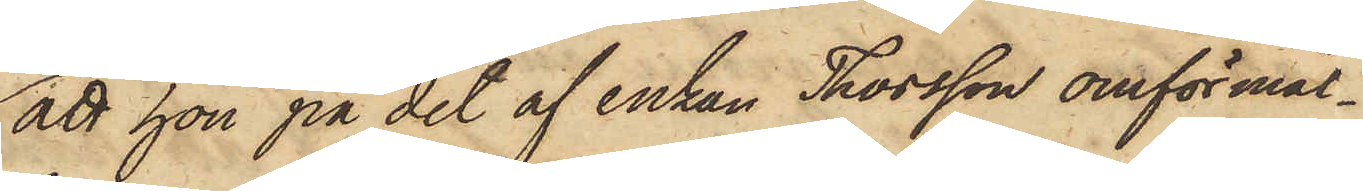att hon på det af enkan Thorsson omförmäl¬
